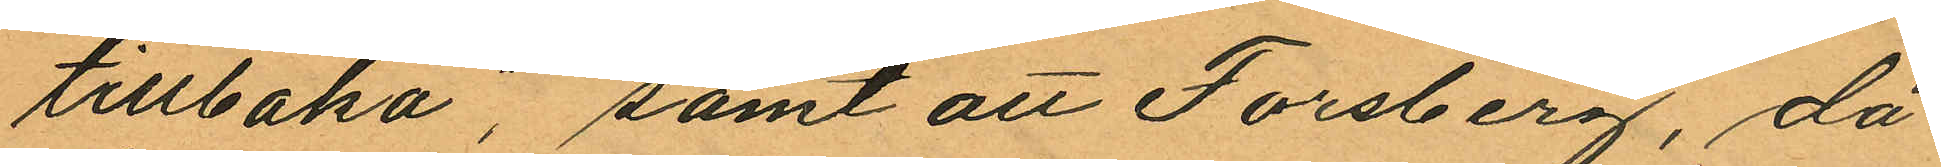tillbaka, samt att Forsberg, då
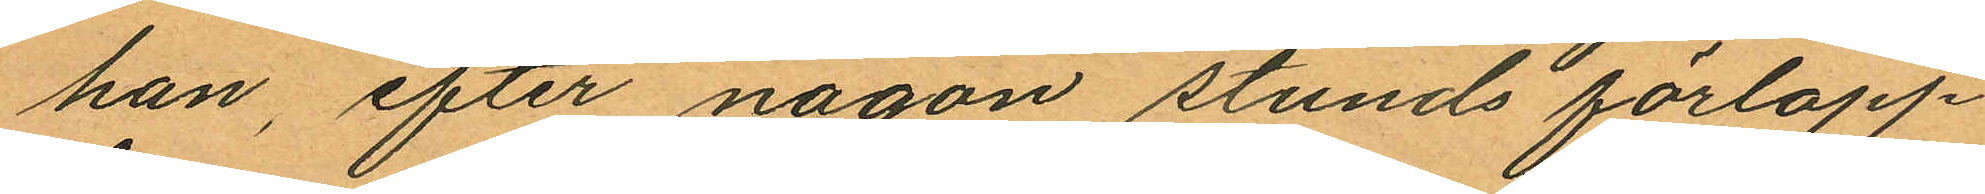han, efter någon stunds förlopp
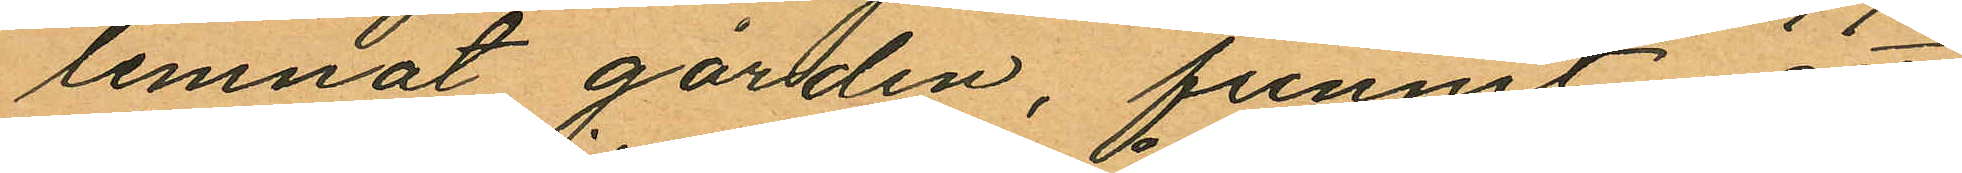lemnat gården, funnit
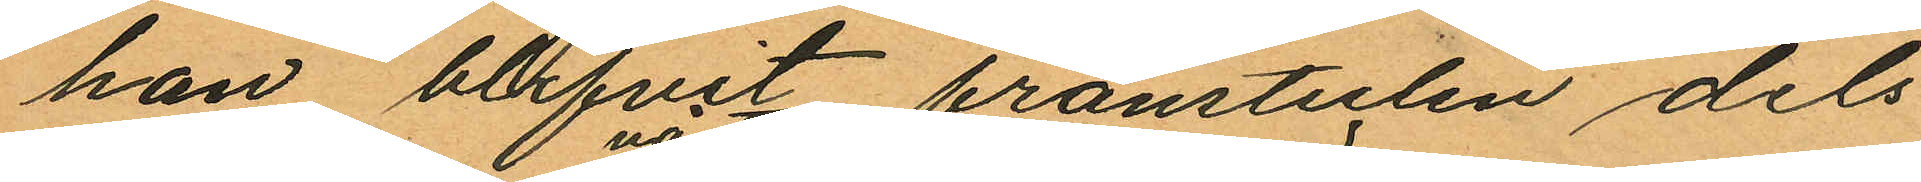han blifvit frånstulen dels
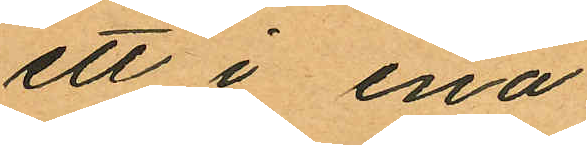ett i ena
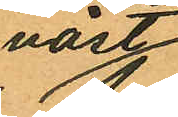väst¬
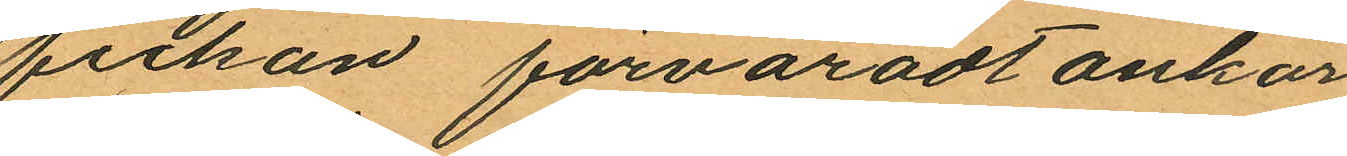fickan förvaradt ankar
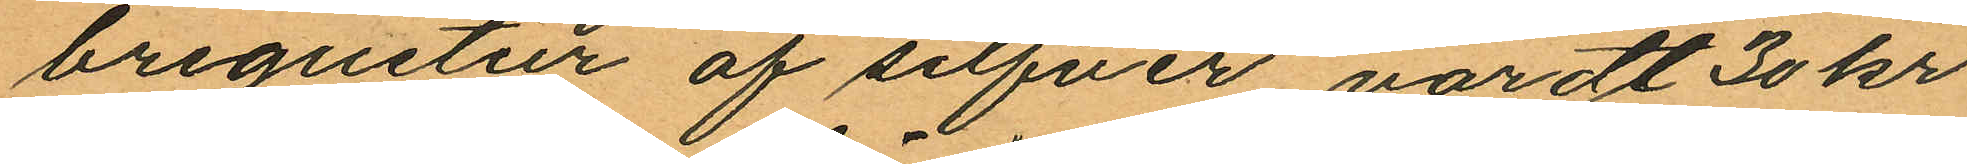bregustur af silfver, värdt 30 kr
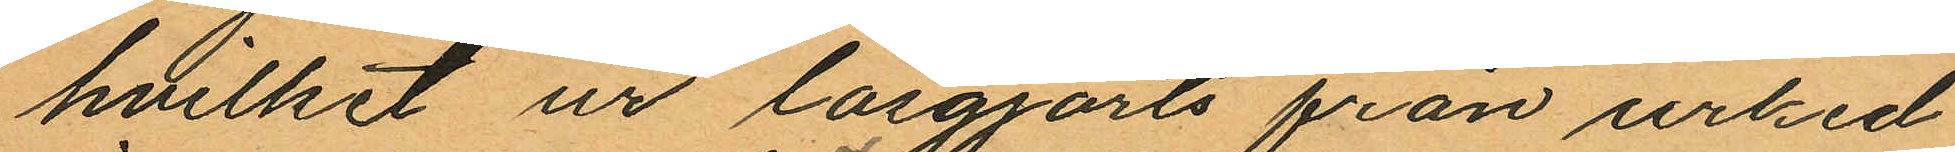hvilket ur lösgjorts från urked¬
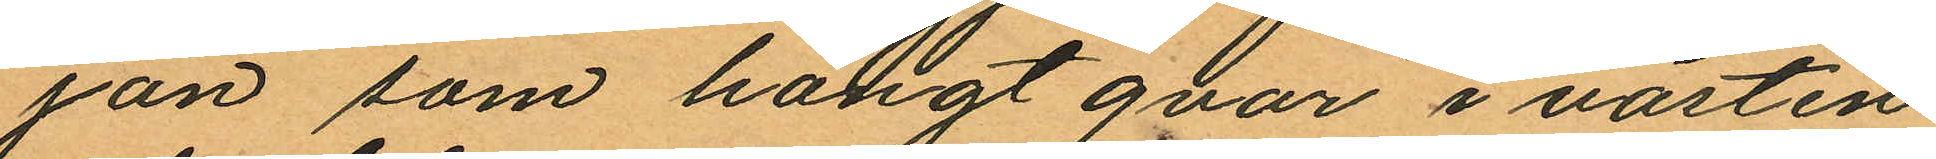jan som hängt qvar i västen
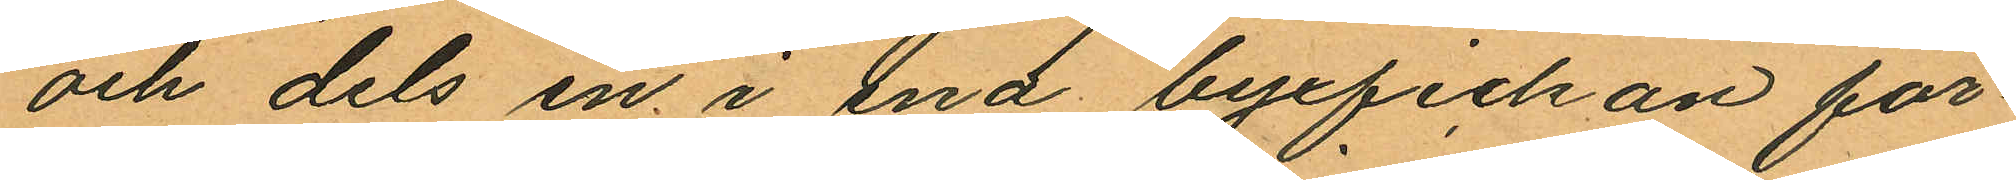och dels en i ena byxfickan för
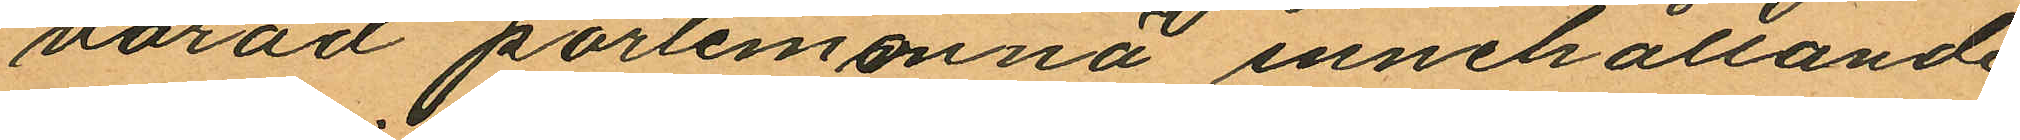varad portemonnä innehållande
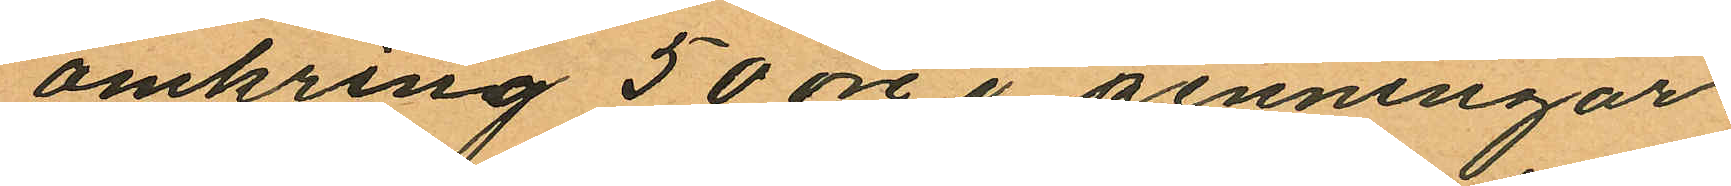omkring 50 öre i penningar.
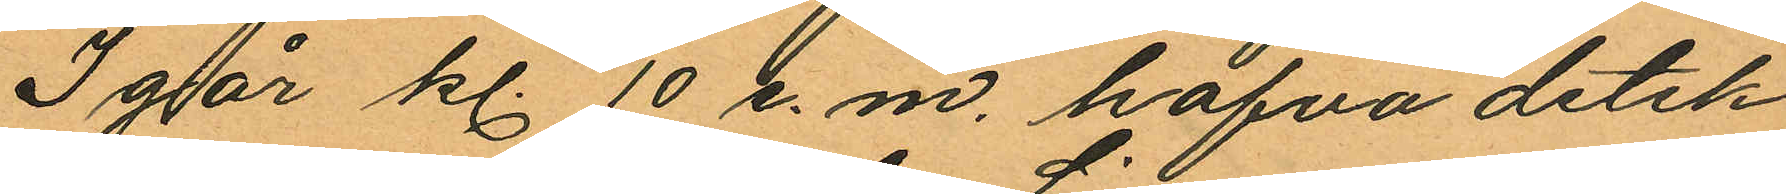Igår kl. 10 e. m. hafva detek¬
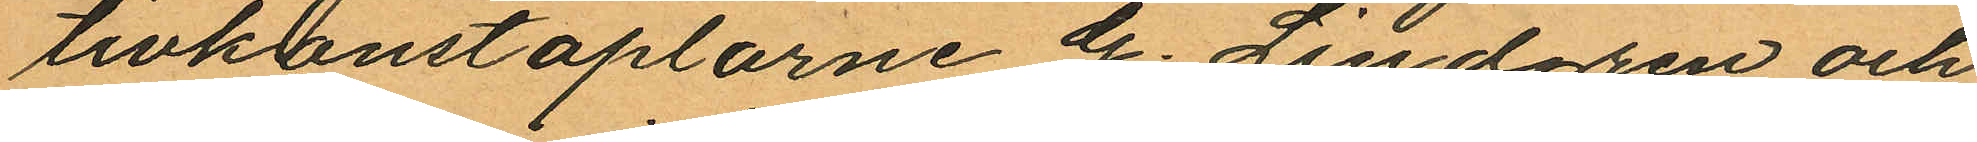tivkonstaplarne G. Lindgren och
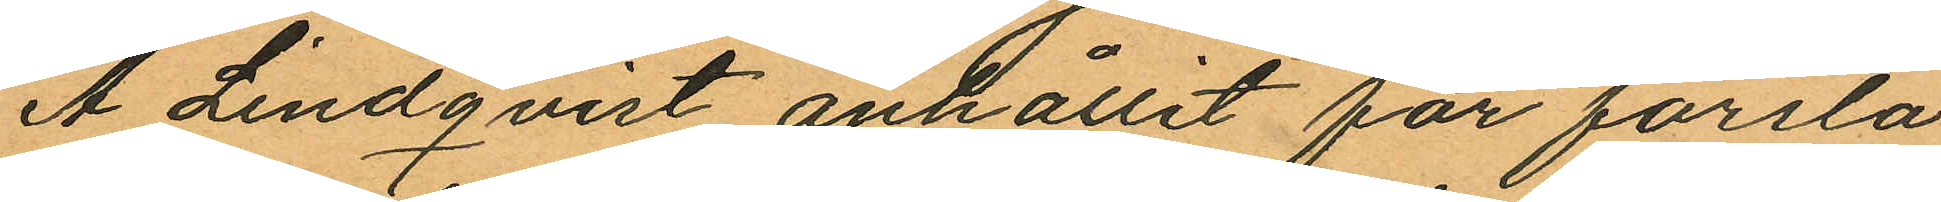A. Lindqvist anhållit för första
